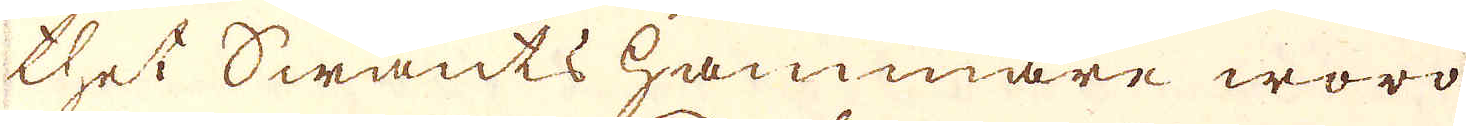thet Swants hammare woro
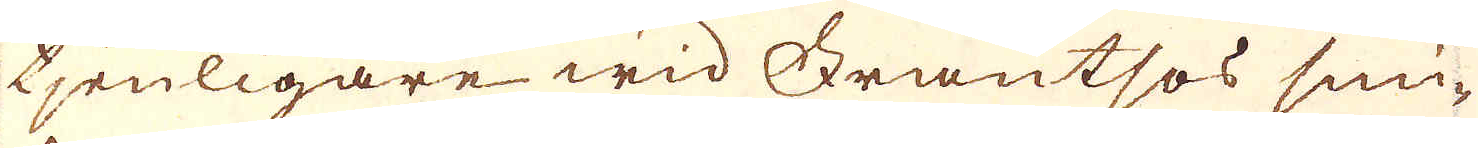tjenligare wid Frantsos smi-
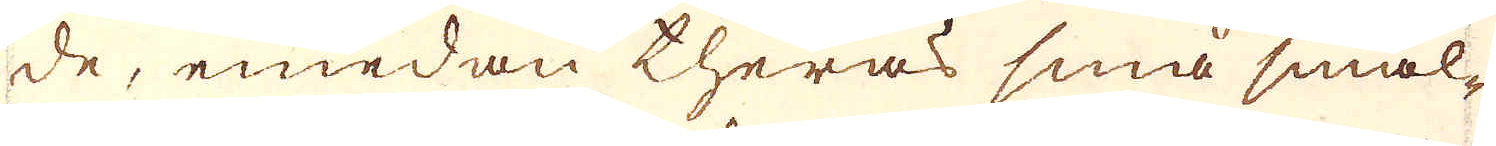de, emedan theras små smäl-
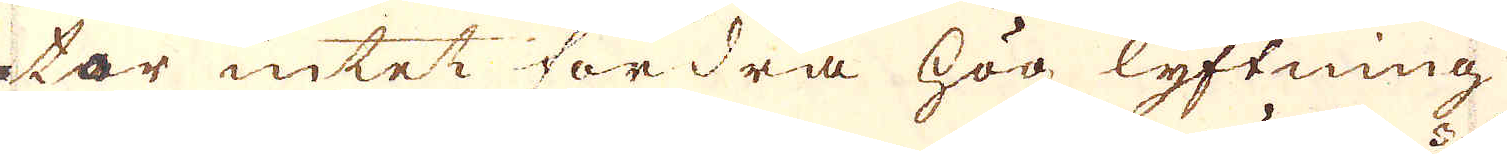tar intet fordra hög lyftning
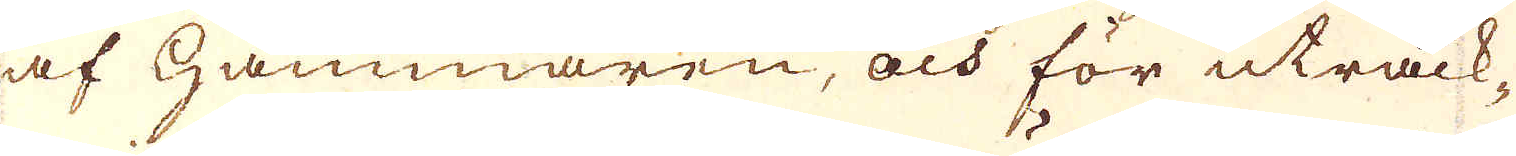af Hammaren, och för uträck-
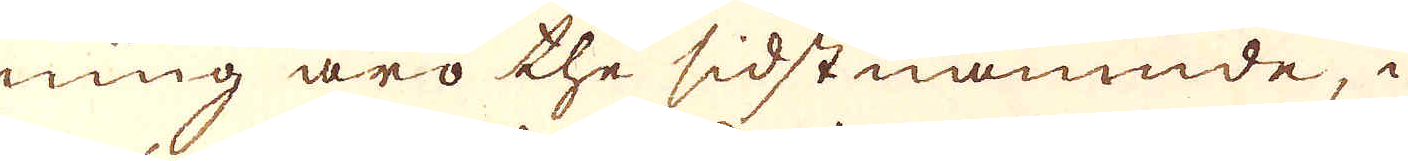ning äro the sidstnämnde, i
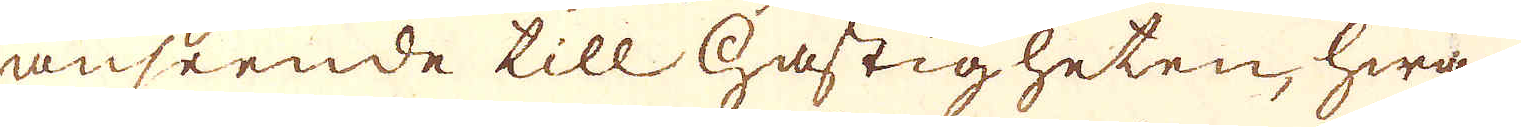anseende till hastigheten, hwar
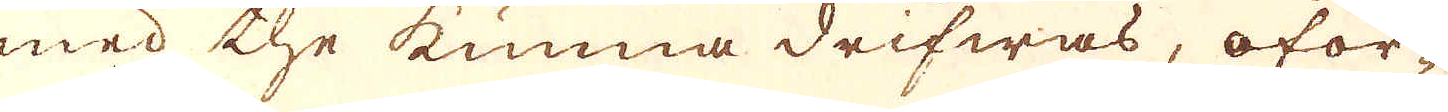med the kunna drifwas, oför-
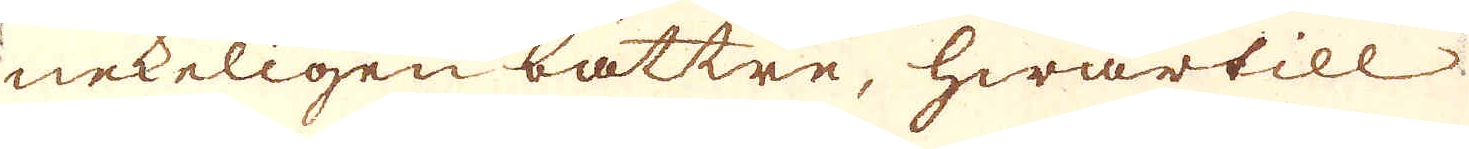nekeligen bättre, hwartill
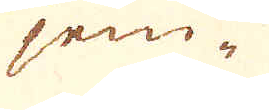jem-
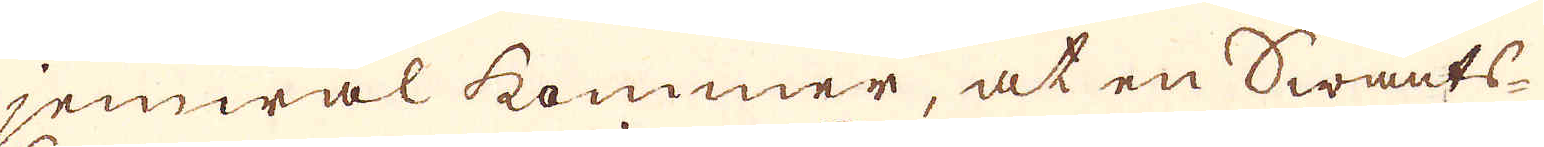jemwäl kommer, at en Swants-
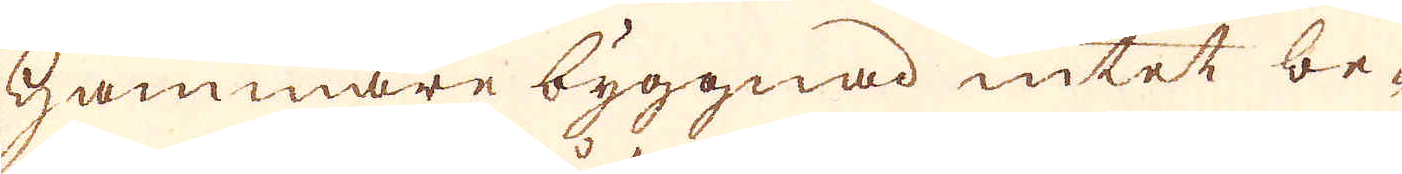Hammare byggnad intet be-
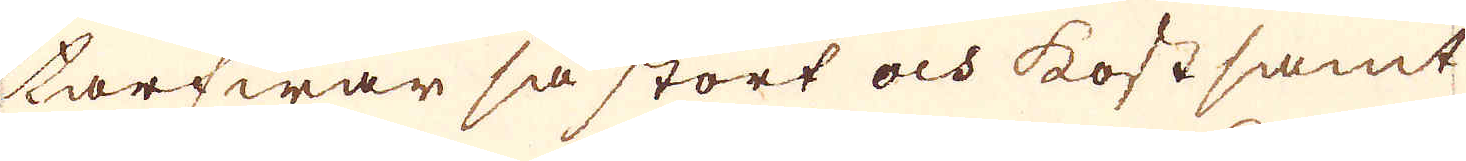tarfwar så stort och kostsamt
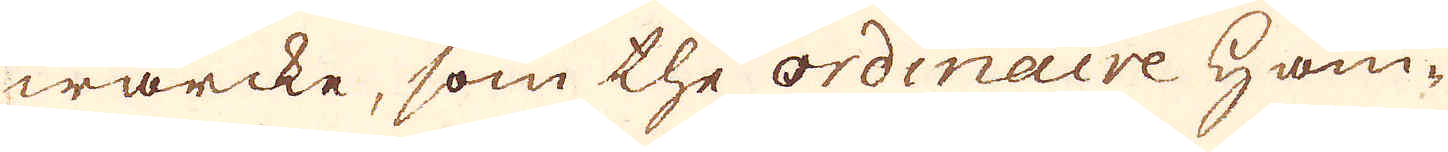wärcke, som the ordinaire Ham-
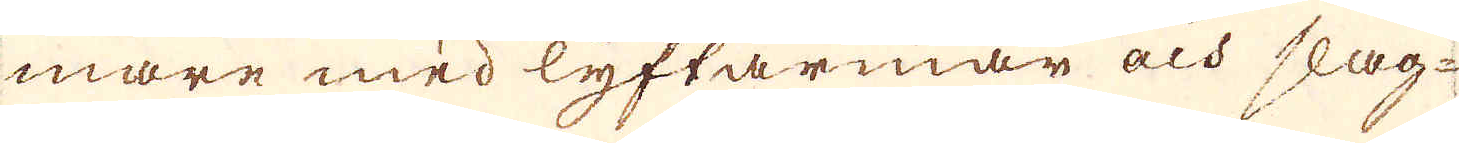mare med lyftarmar och slag-
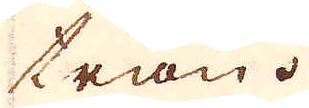trån.
